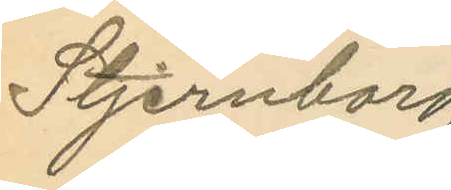Stjernborg.
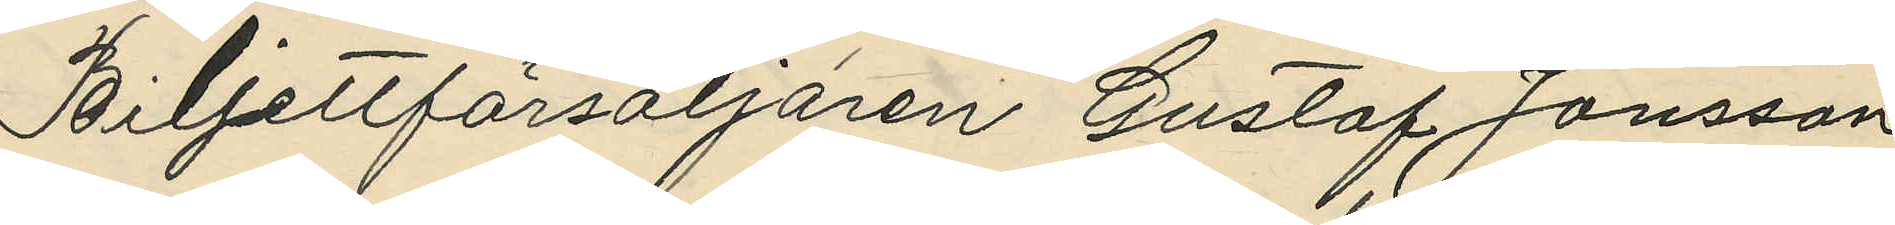Biljettförsäljaren Gustaf Jonsson,
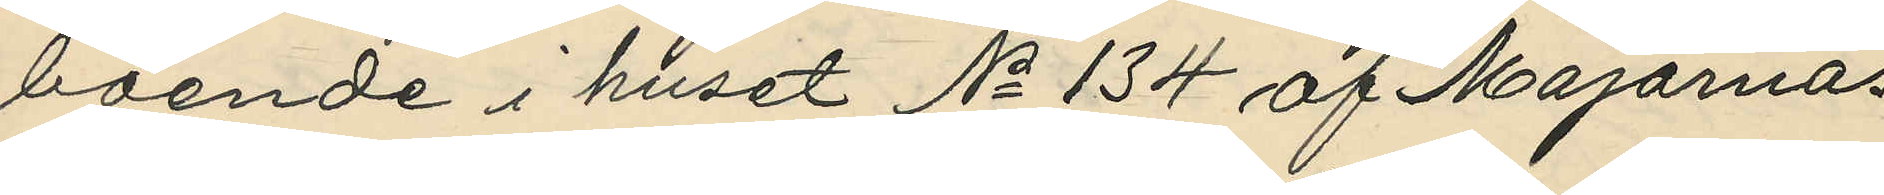boende i huset No 134 af Majornas
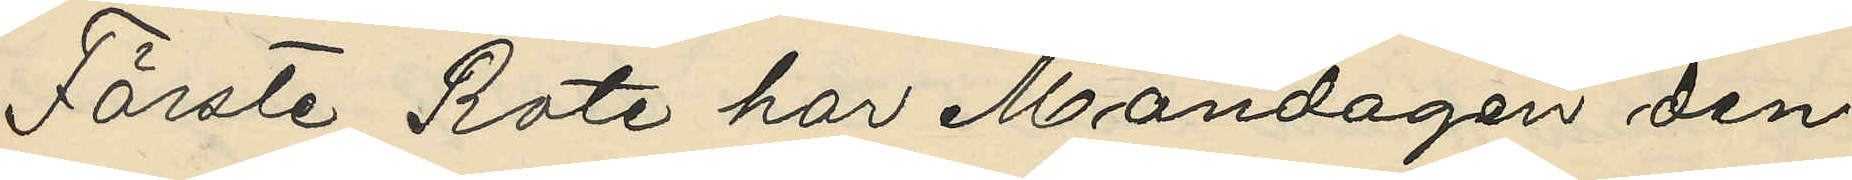Förste Rote har Måndagen den
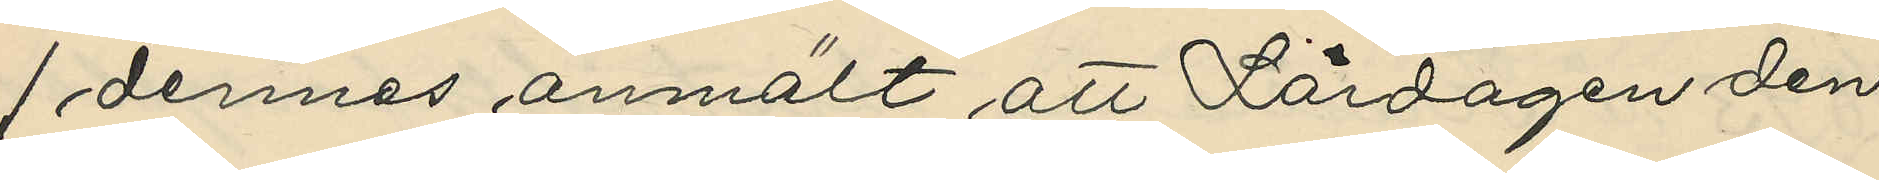1 dennes anmält att Lördagen den
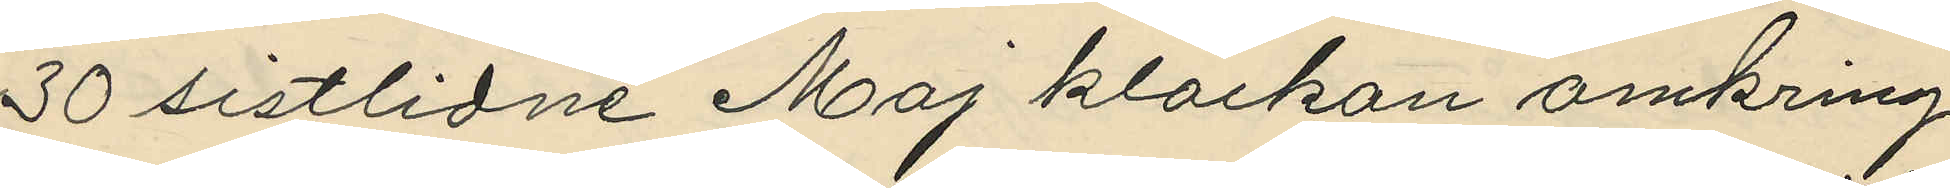30 sistlidne Maj klockan omkring
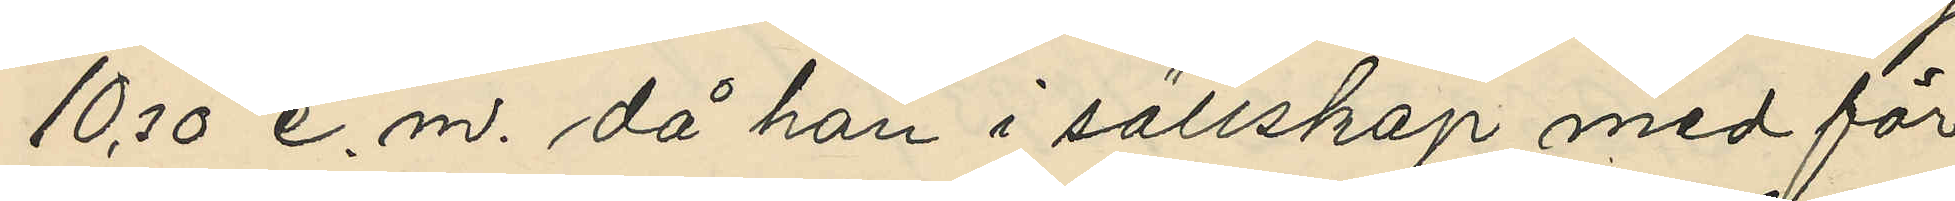10,30 e. m. då han i sällskap med för
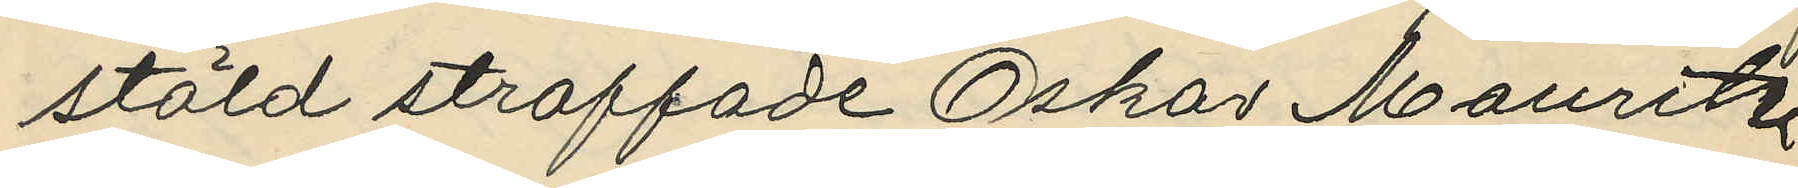stöld straffade Oskar Mauritz
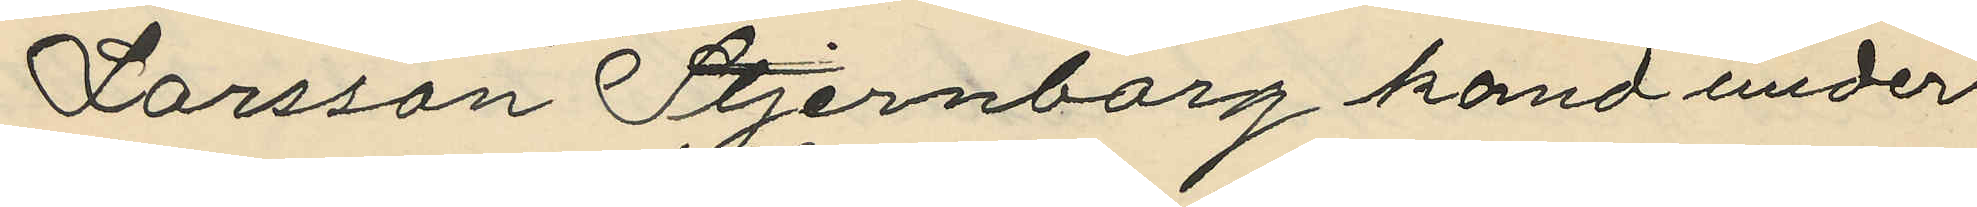Larsson Stjernborg kand under
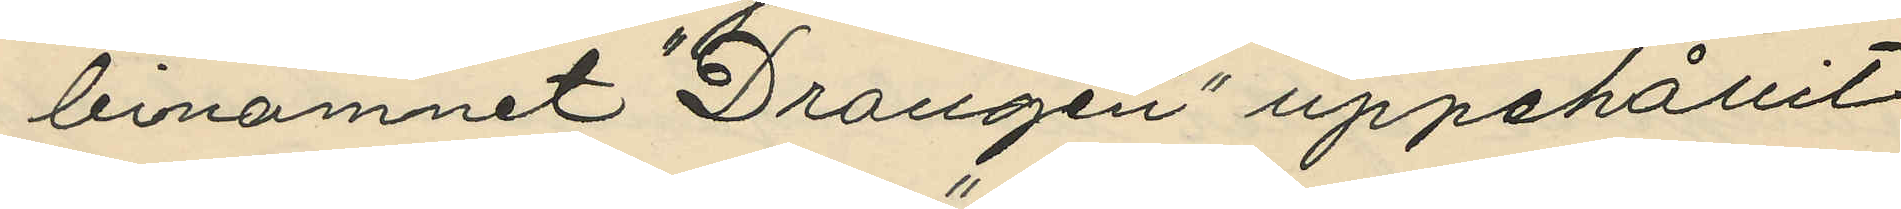binamnet "Drangen" uppehållit
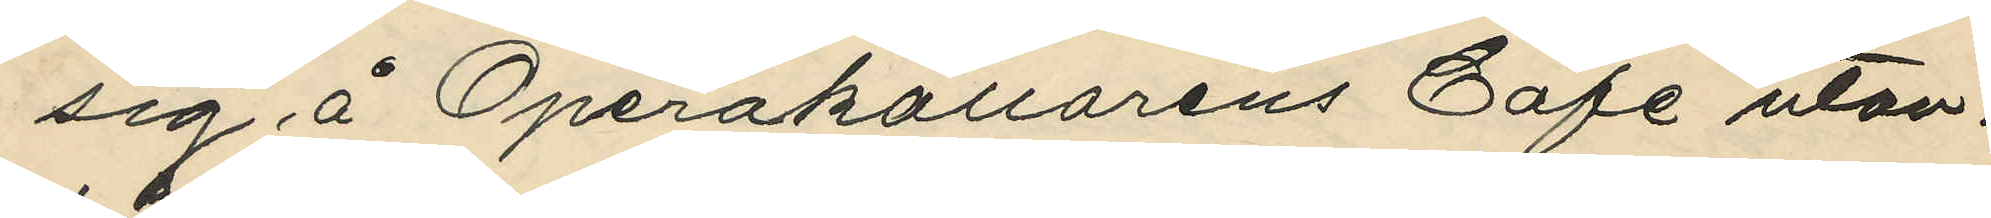sig å Operakällarens Café utan¬
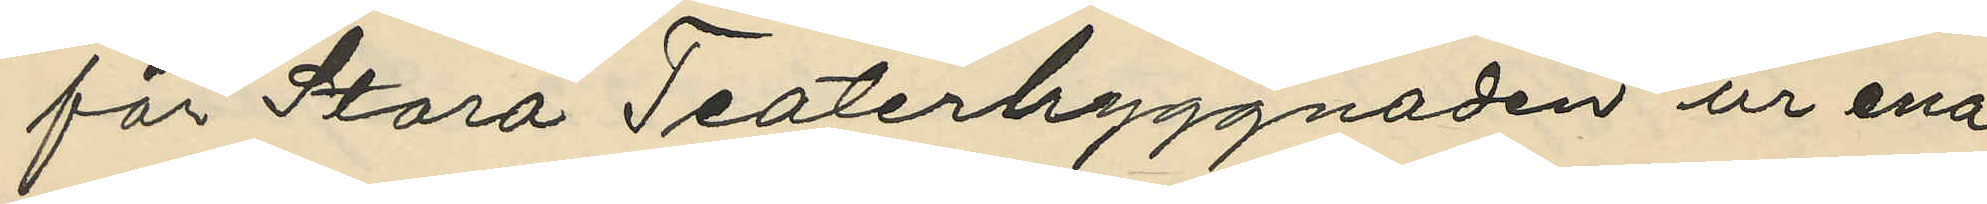för Stora Teaterbyggnaden ur ena
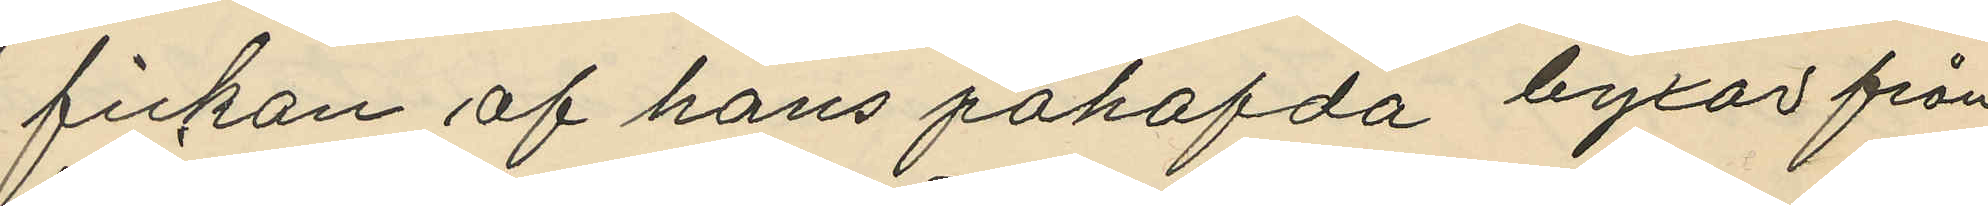fickan af hans påhafda byxor från
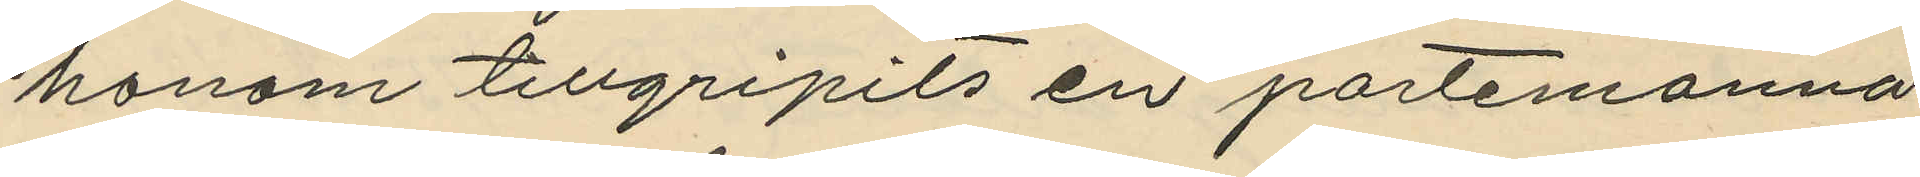honom tillgripits en portemonnä,
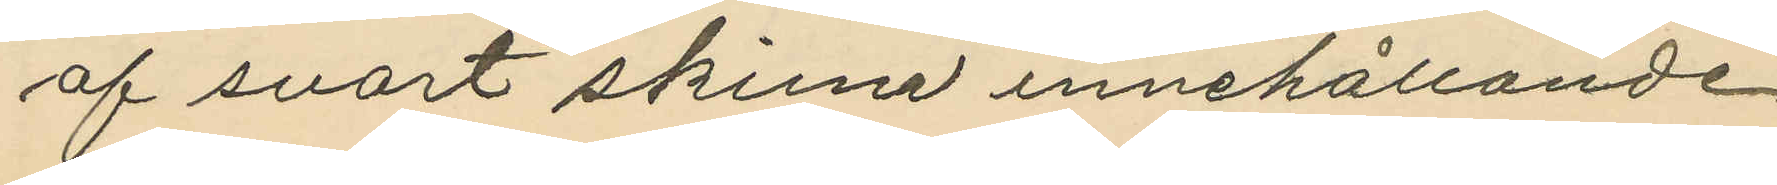af svart skinn innehållande
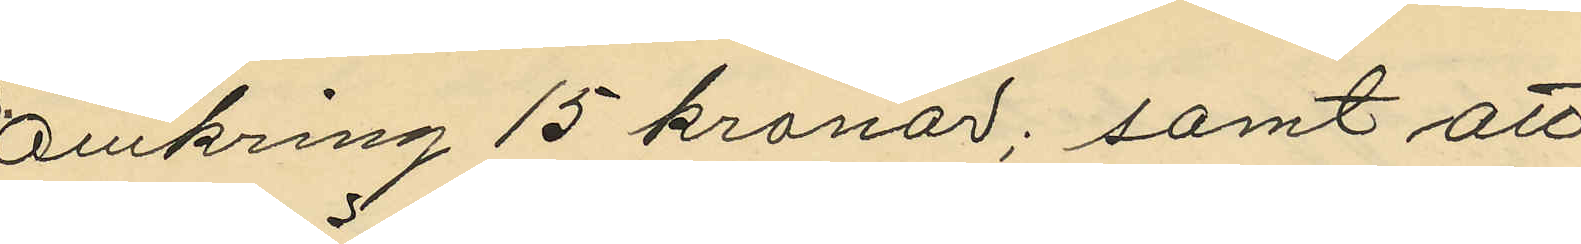omkring 15 kronor; samt att
